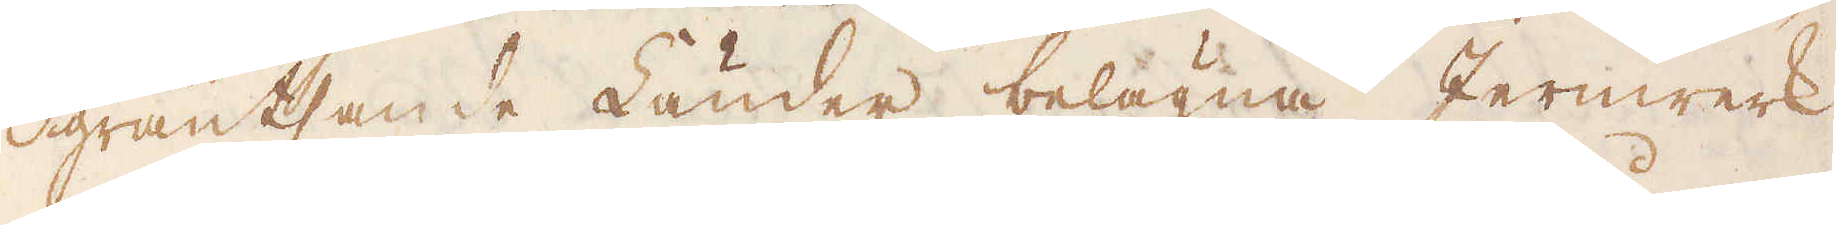gräntsande Länder belägna Jernwerk
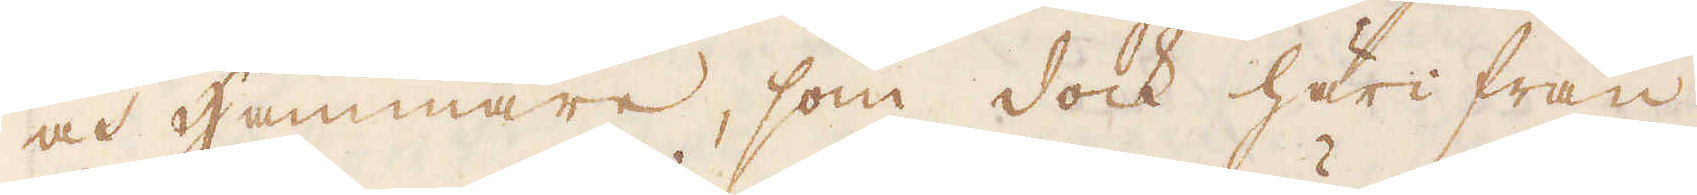och Hammare, som dock härifrån
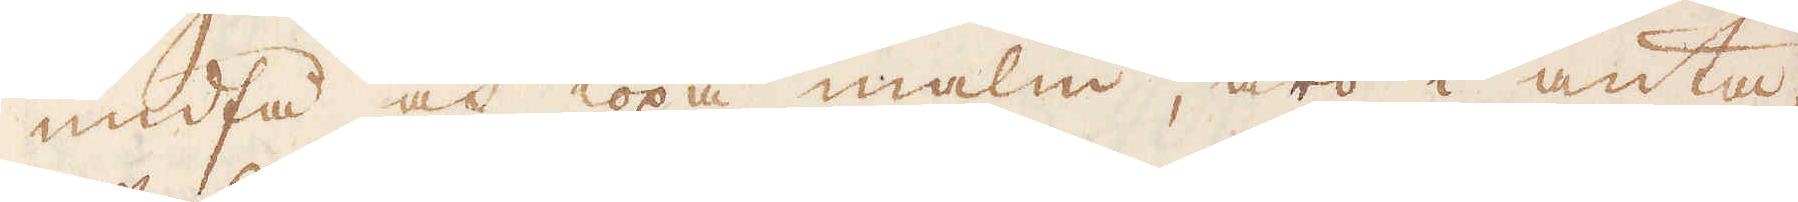undfå och köpa malm, äro i anta-
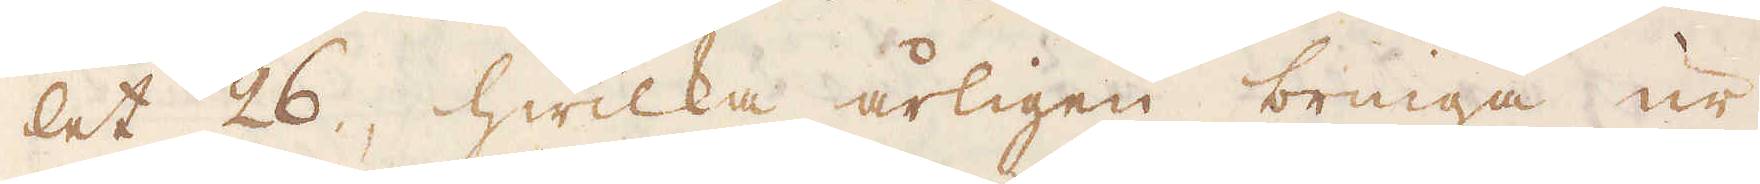let 26, hwilka årligen bringa ur
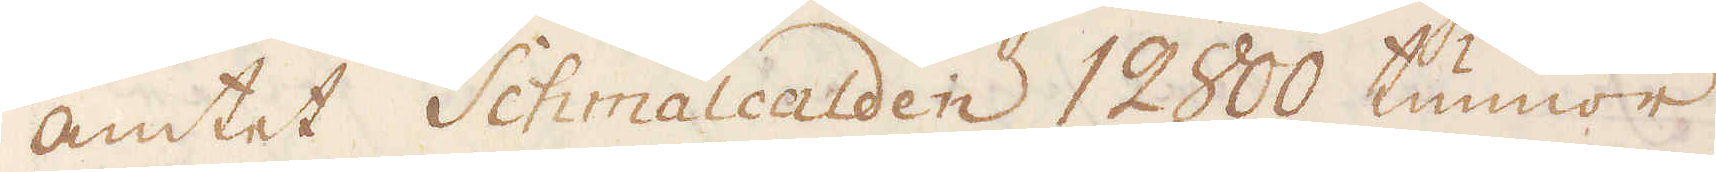antet Schmalcalden 12800 tunnor
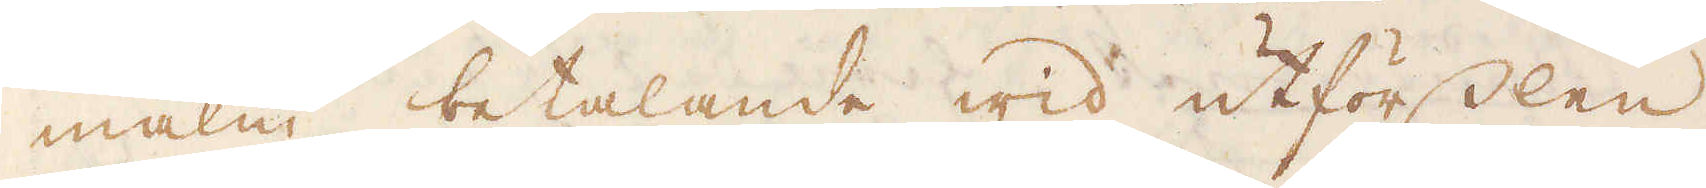malm betalande wid utförslen
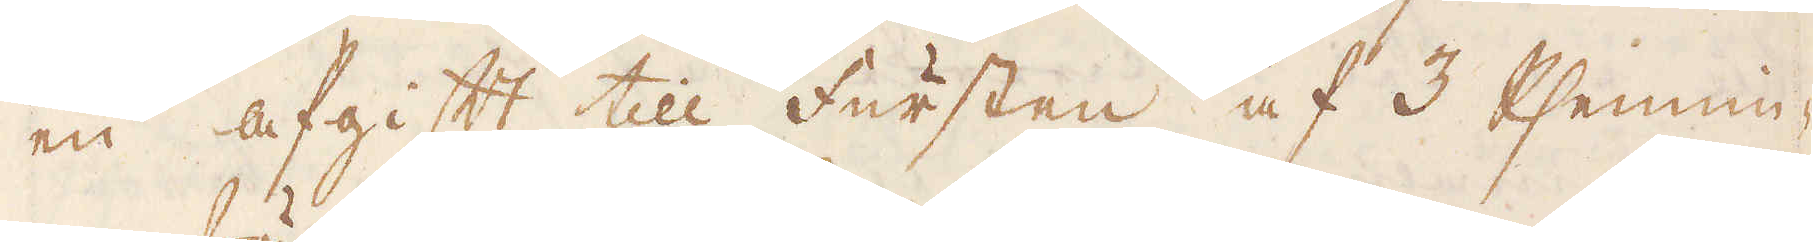en afgift till fursten af 3 Phennin-
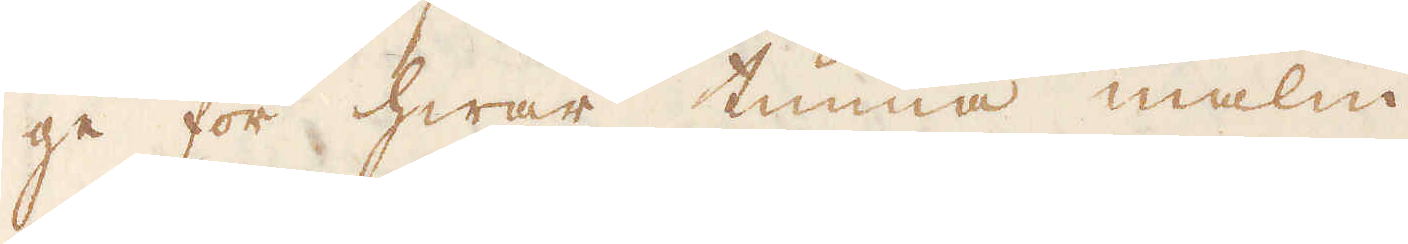ge för hwar tunna malm.
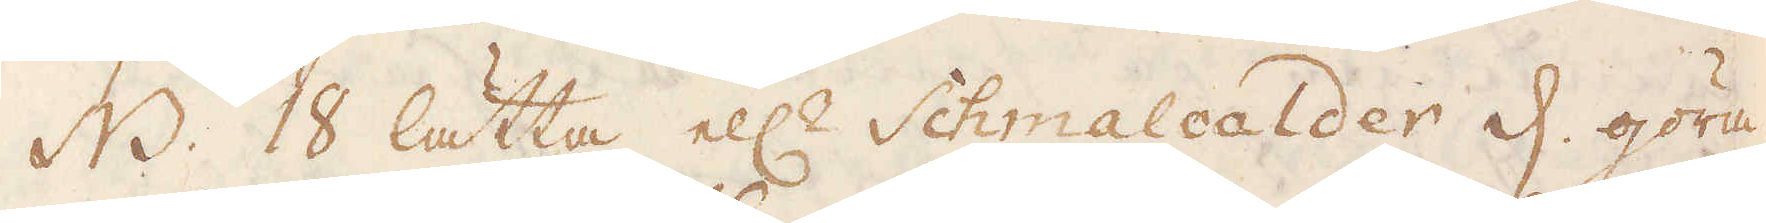NB. 18 lätta ell:r Schmalcalder d. göra
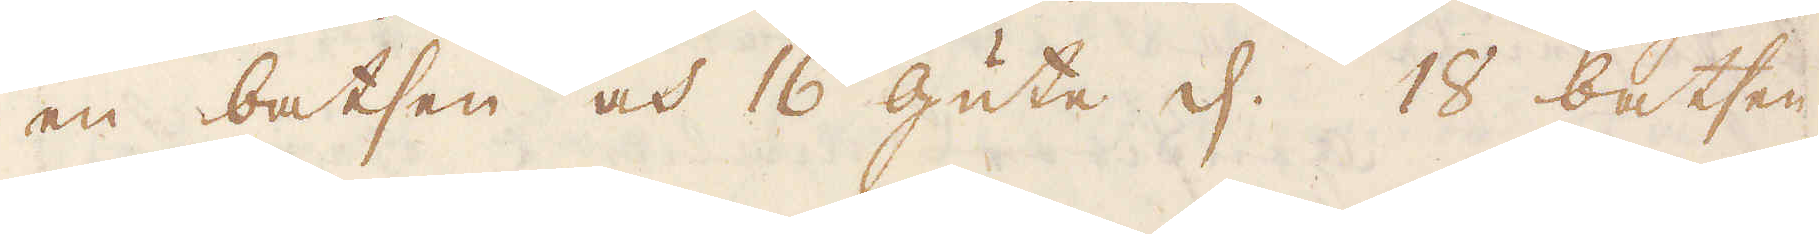en batsen och 16 gute d: 18 batsen
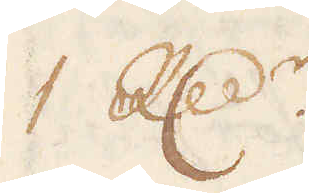R:dr.
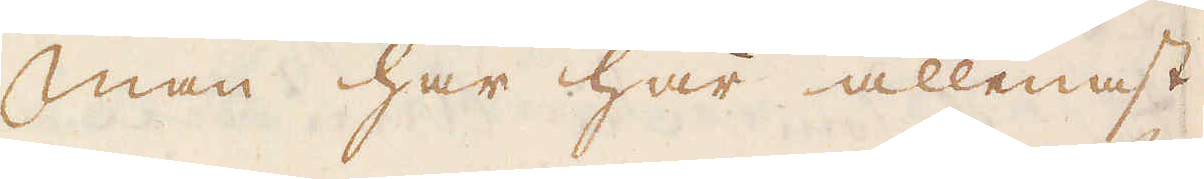Man har här allenast
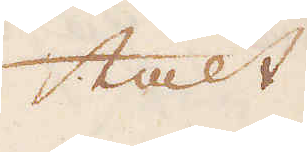talt
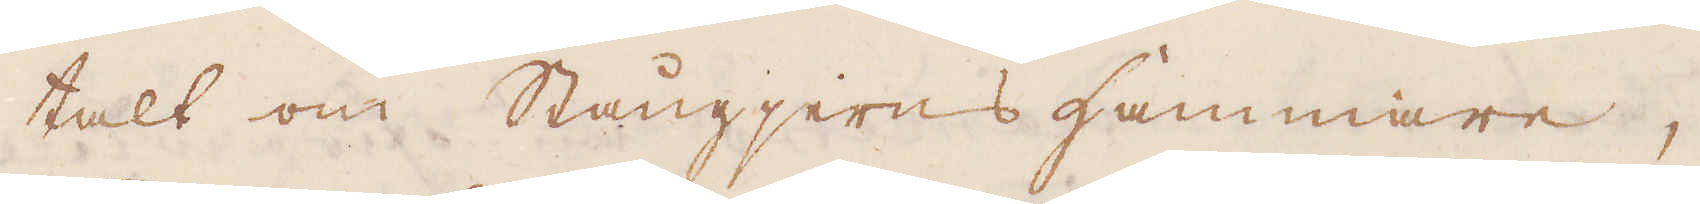talt om Stångjerns hammare,
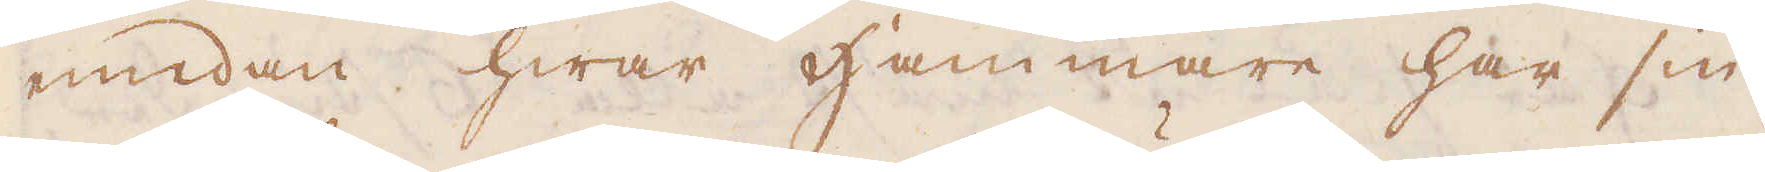emedan hwar Hammare har sin.
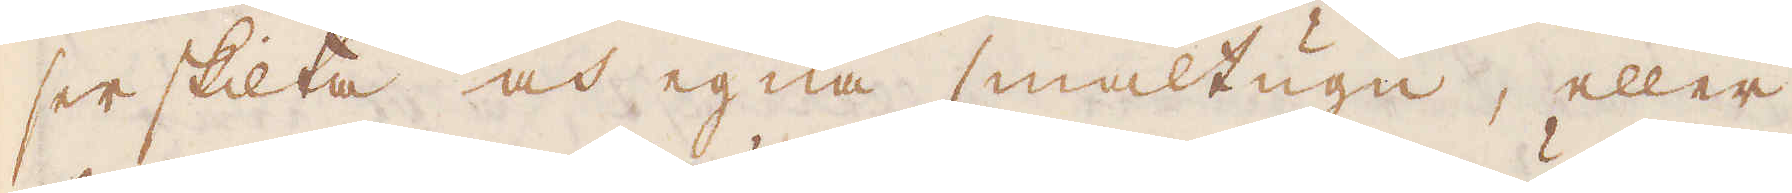serskilta och egna smältugn, eller
